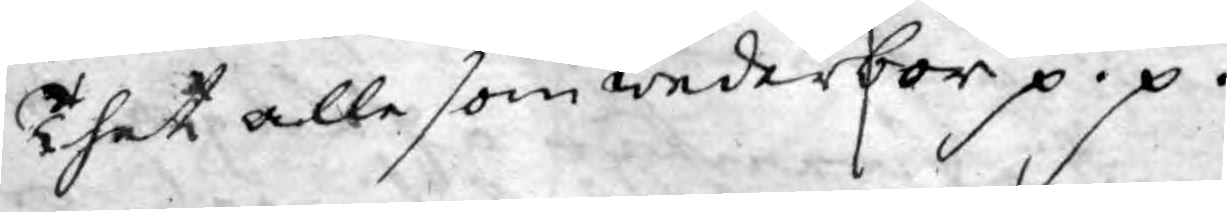Thet alle som wederbör p.p.
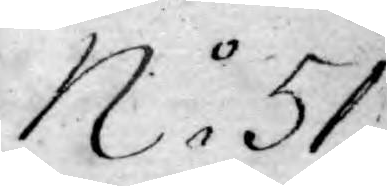No 51.
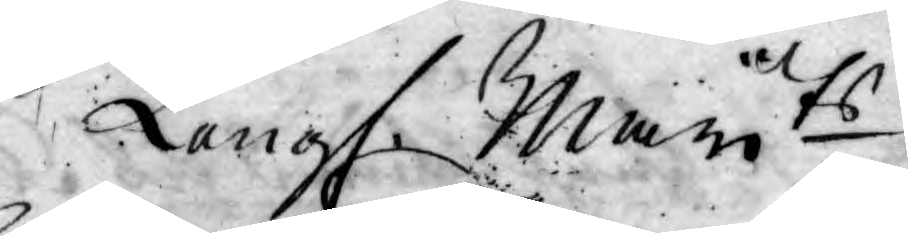Kongl. Mayts
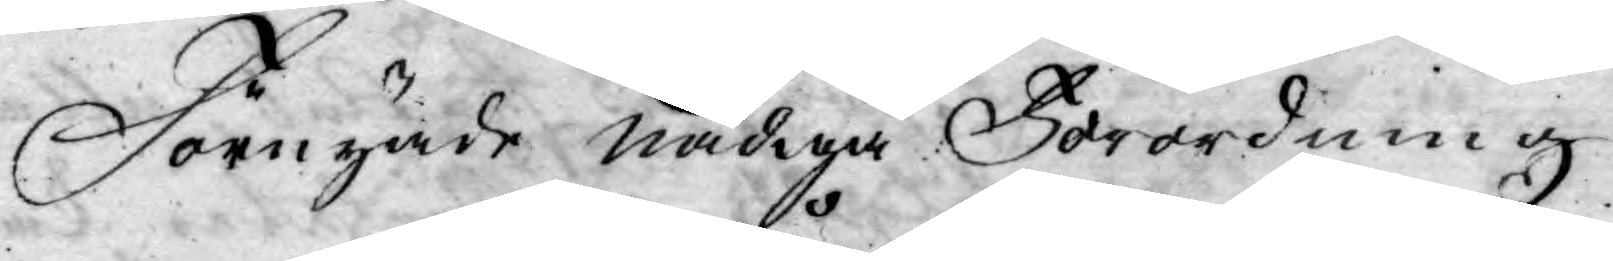Förnyade nådiga Förordning
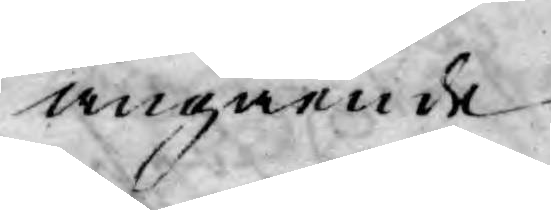angående
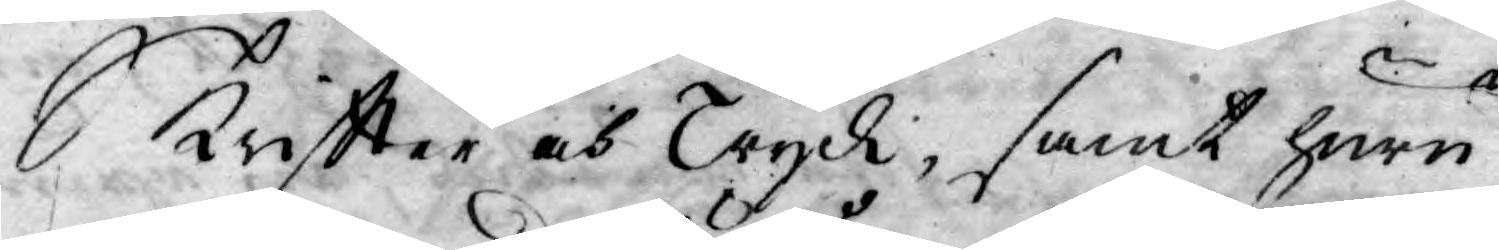Skriftter och Tryck, samt huru
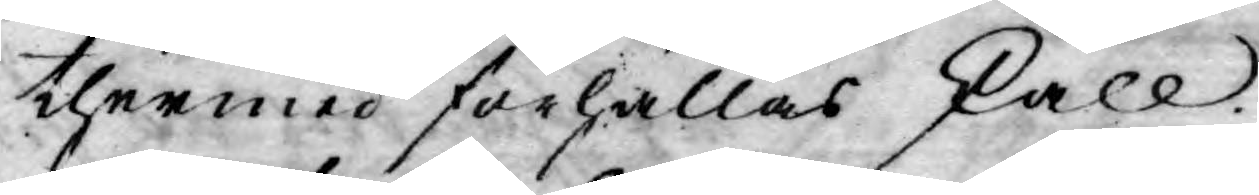thermed förhållas skall.
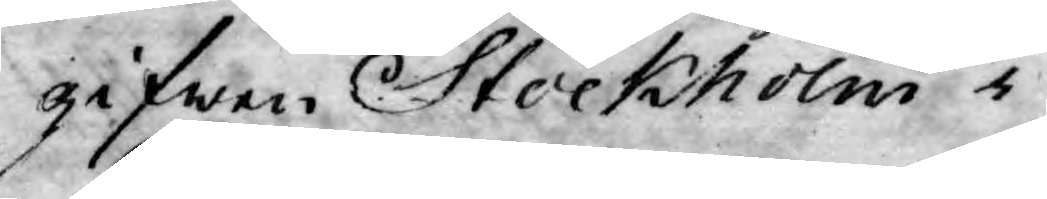gifwen Stockholm i
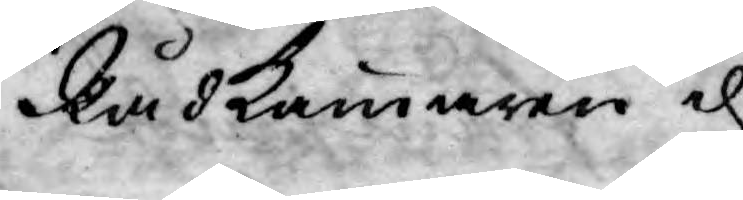Rådkammaren d.
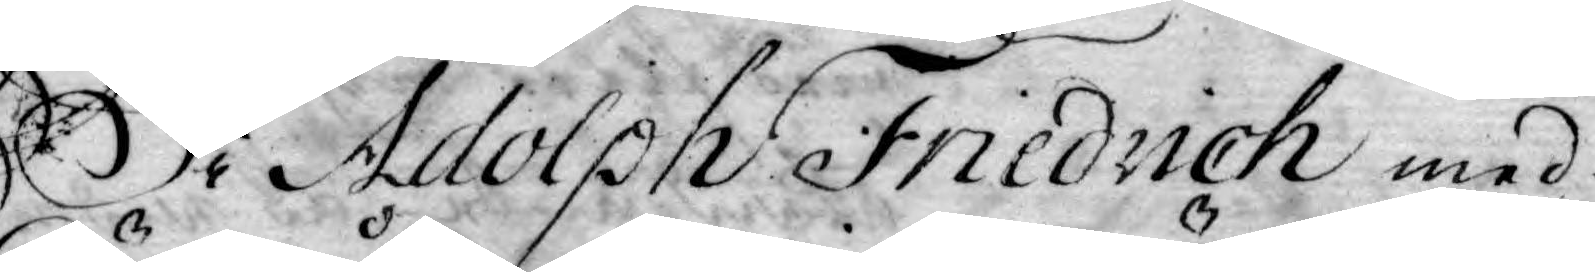Wi Adolph Friedrich med
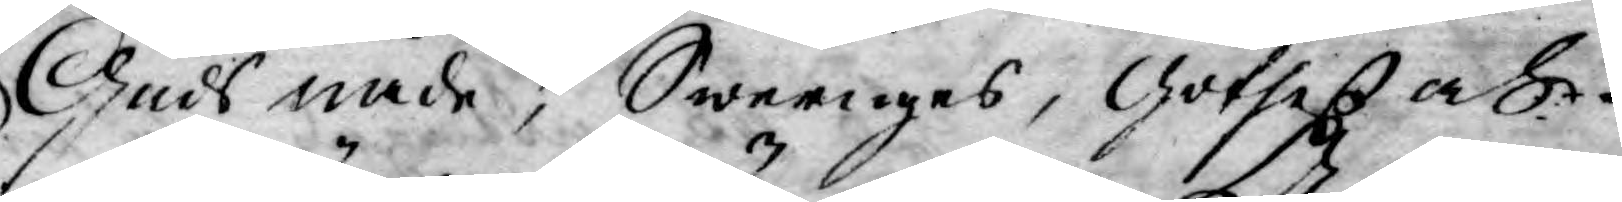Guds nåde, Sweriges, Göthes och
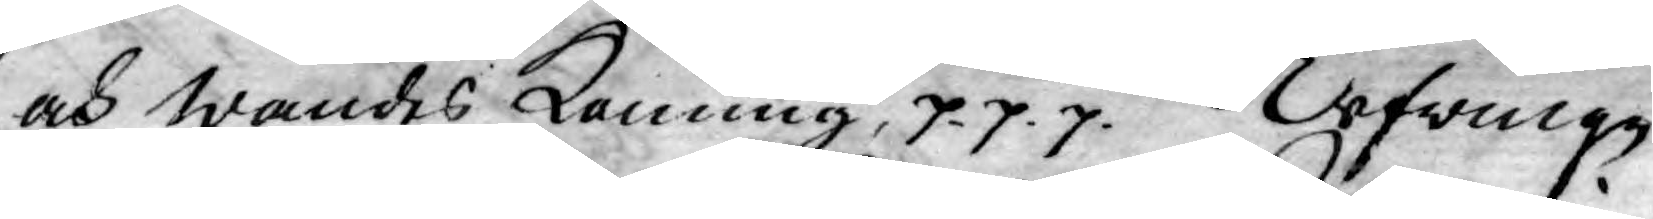och Wändes Konung, p p. p. Afwinge
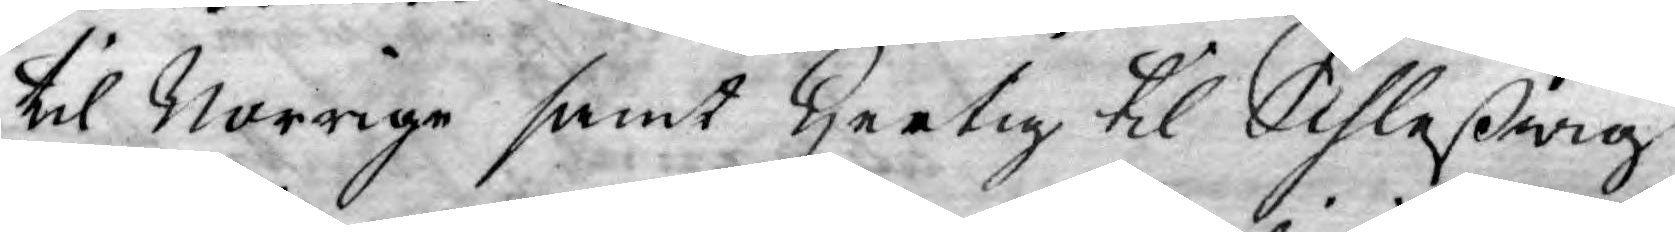til Norrige samt Hertig til Schleßwig
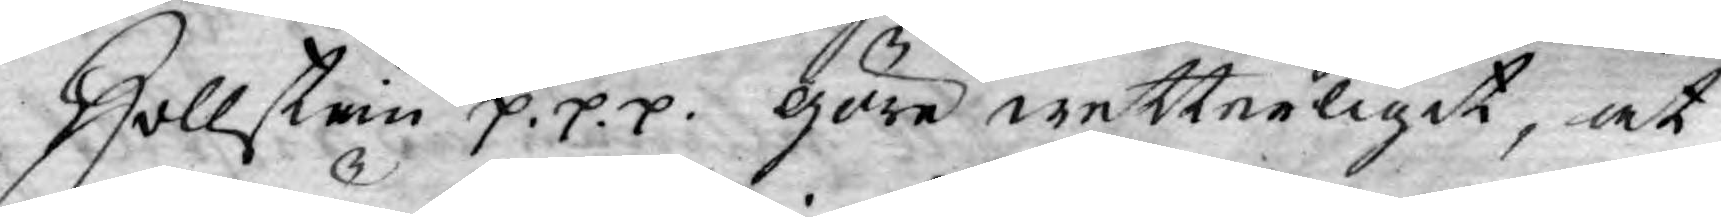Hollstein p. p. p. Göre wetterligit, at
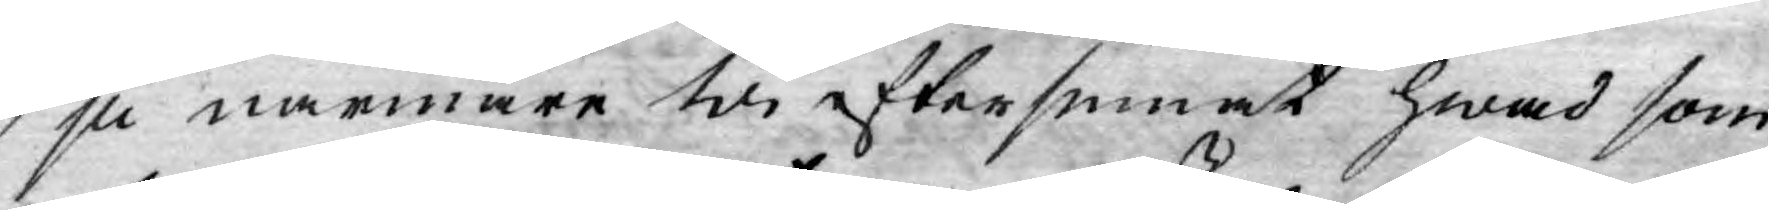ju närmare Wi eftersinat hwad som
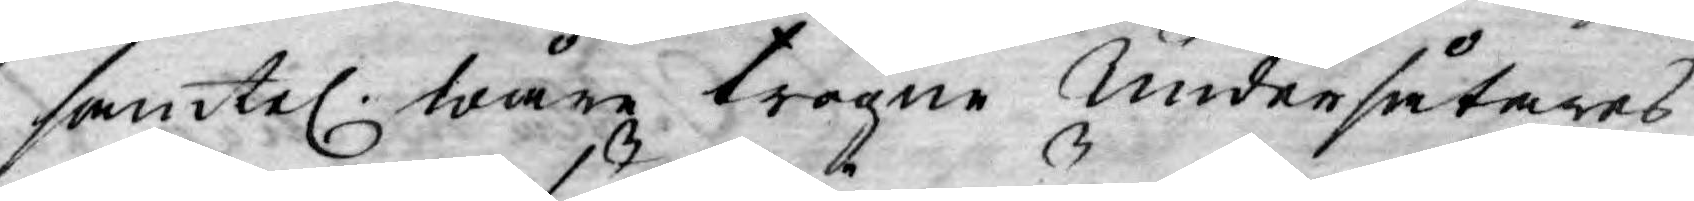samtel. wåre trogne undersåtares
